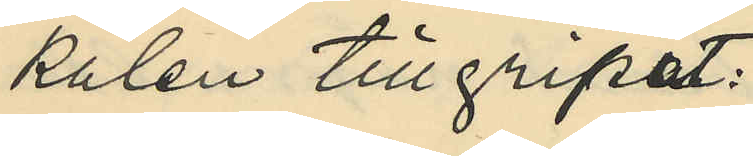kalen tillgripit:
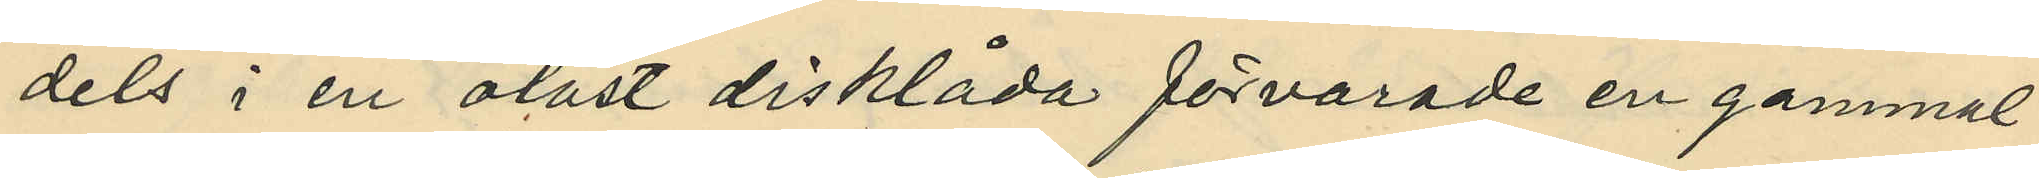dels i en olåst disklåda förvarade en gammal
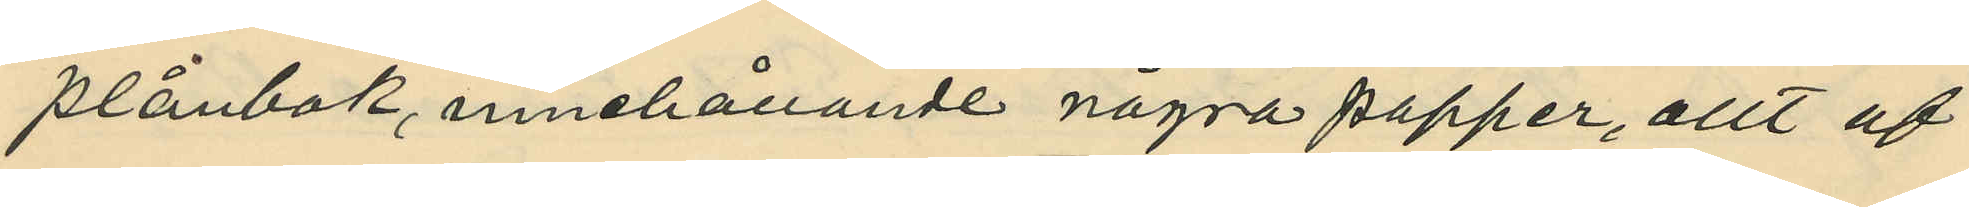plånbok, innehållande några papper, allt af
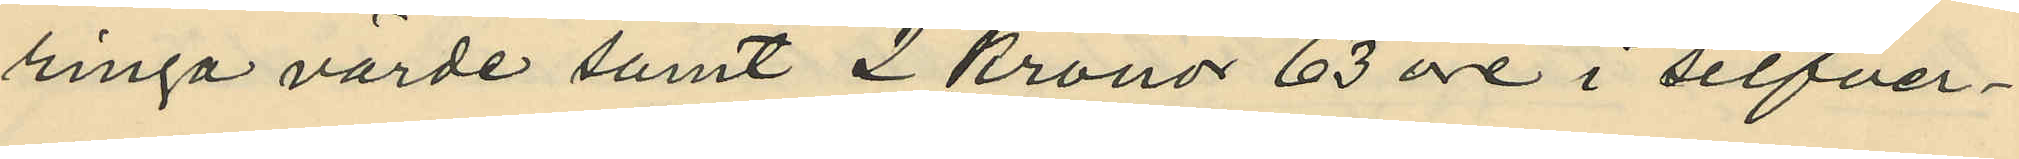ringa värde samt 2 kronor 63 öre i silfver¬
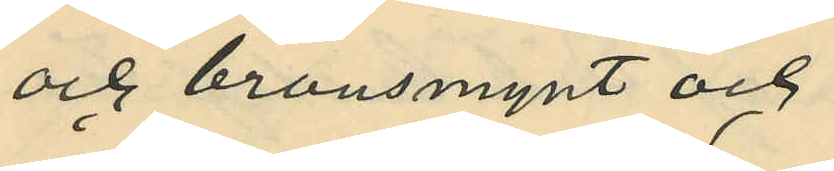och bronsmynt och
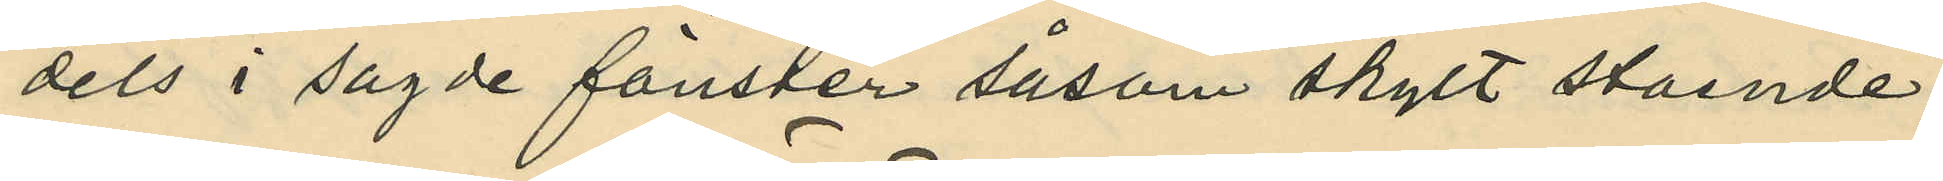dels i sagde fönster såsom skylt stående
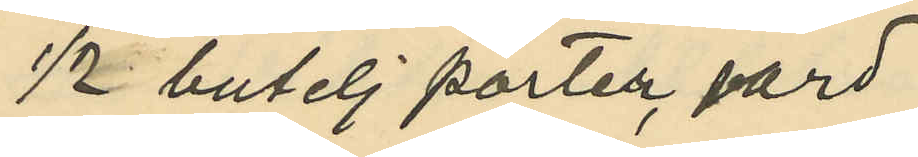1/2 butelj porter, värd
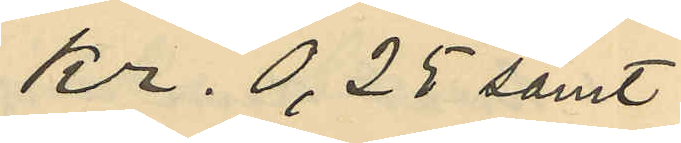Kr. 0,25 samt
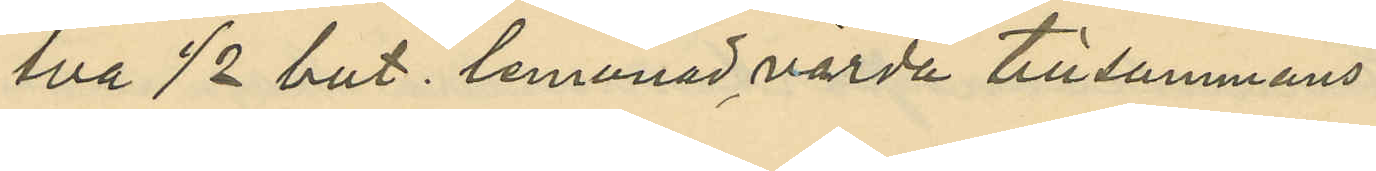två 1/2 but. lemonad, värda tillsammans
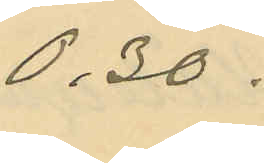0,30.
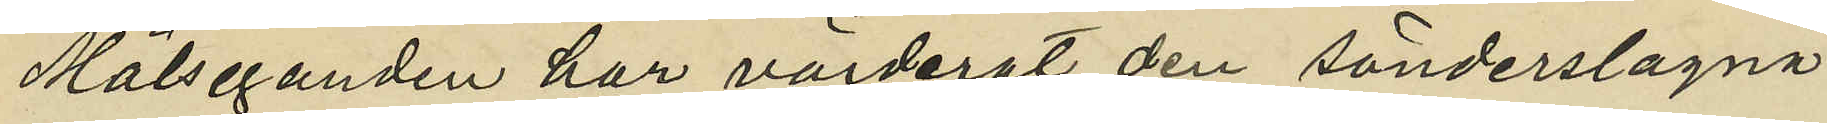Målseganden har värderat den sönderslagna
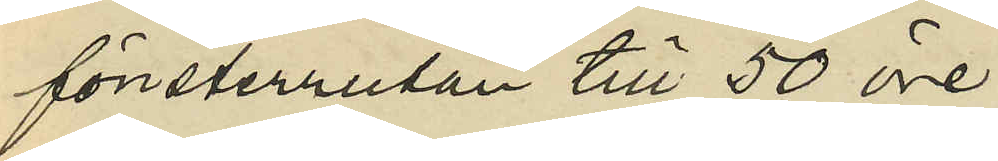fönsterrutan till 50 öre.
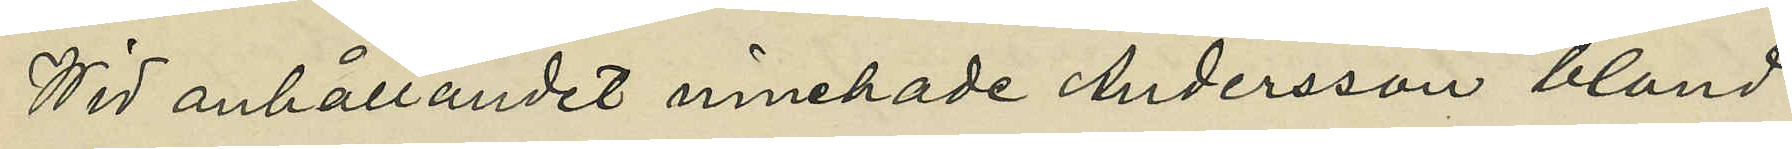Wid anhållandet innehade Andersson, bland
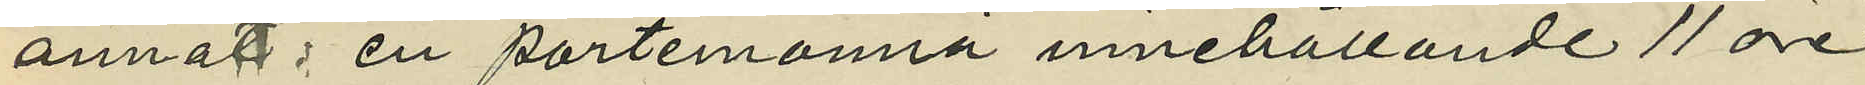annat: en portmonnä innehållande 11 öre
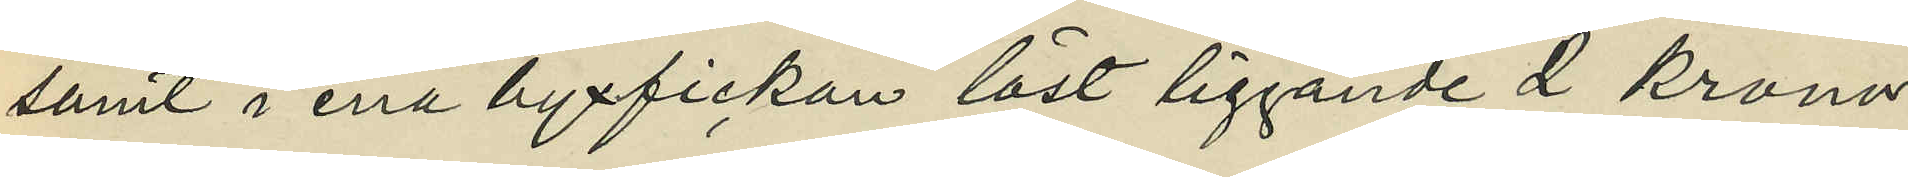samt i ena byxfickan låst liggande 2 kronor
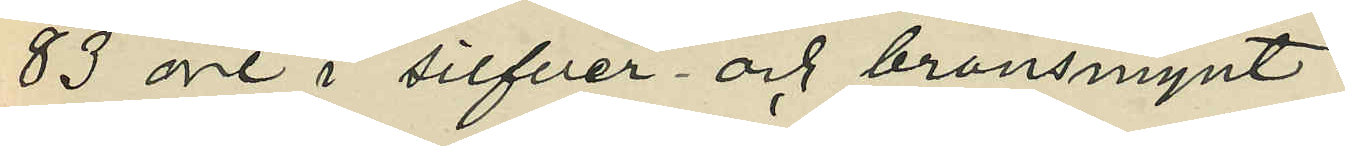83 öre i silfver och bronsmynt.
